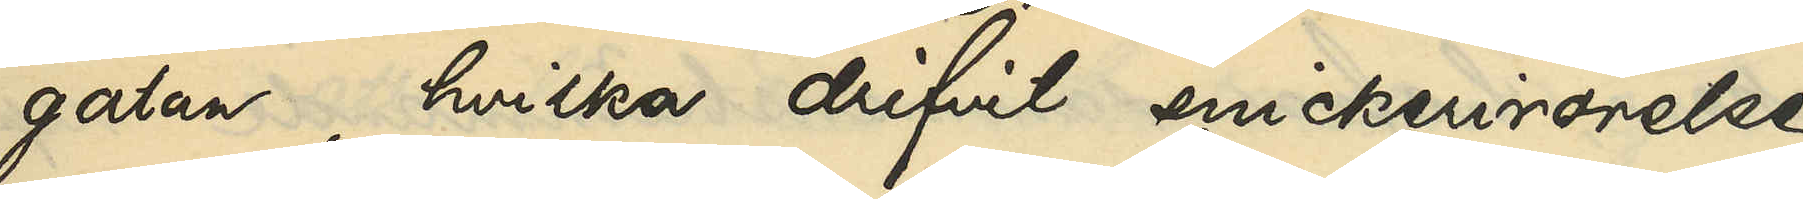gatan, hvilka drifvit snickerirörelse
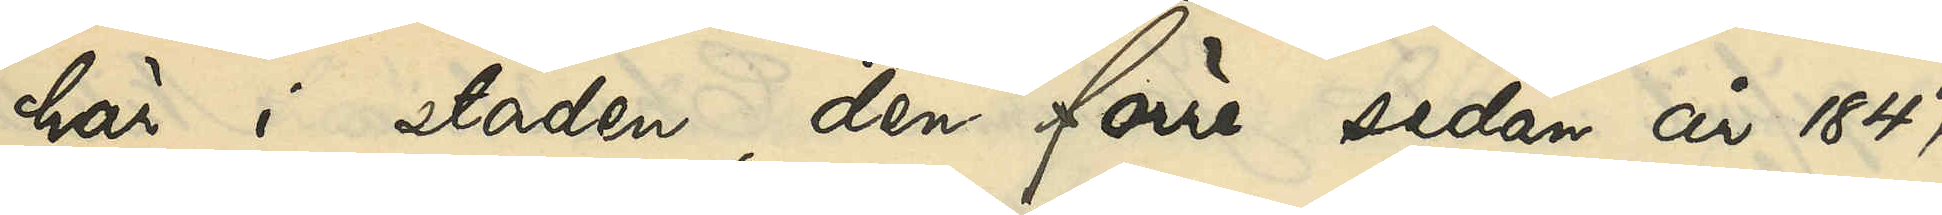här i staden, den förre sedan år 1847
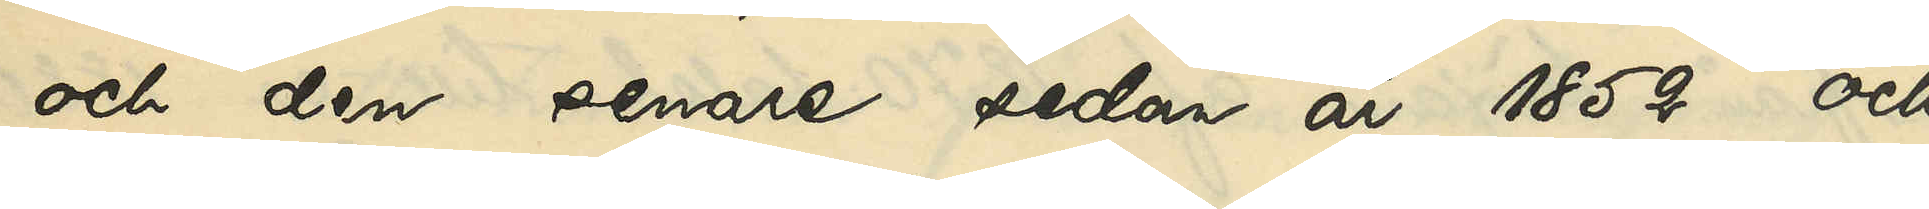och den senare sedan år 1852, och
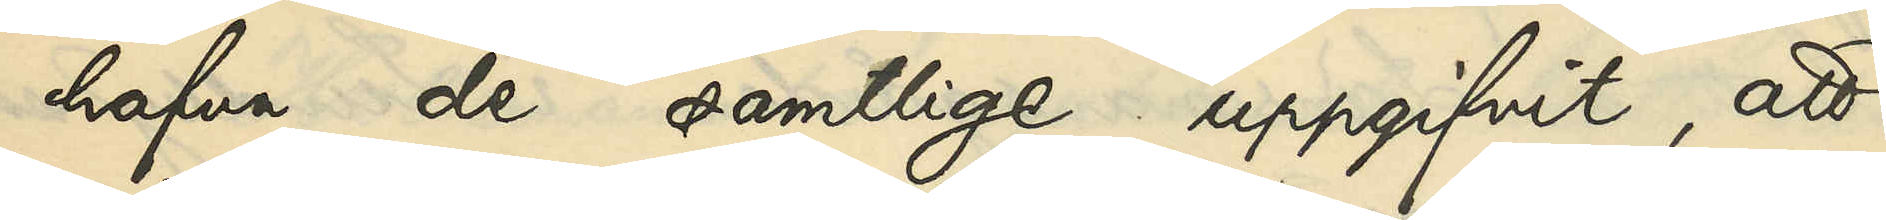hafva de samtlige uppgifvit, att
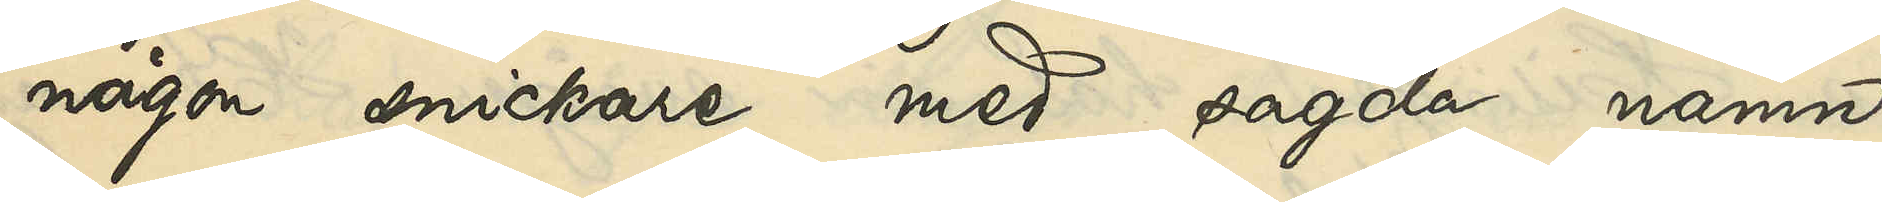någon snickare med sagda namn
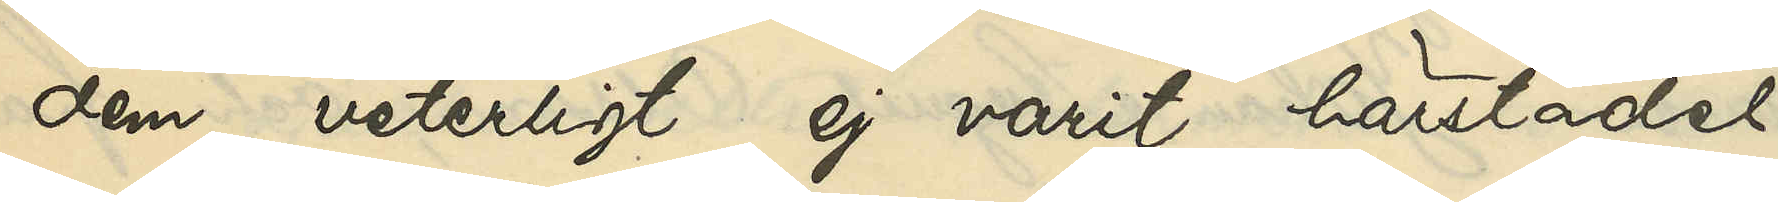dem veterligt ej varit härstädes
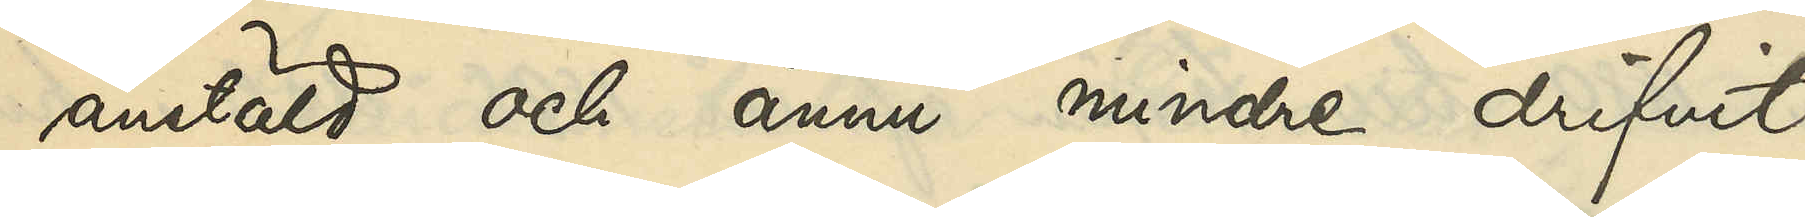anstäld och ännu mindre drifvit
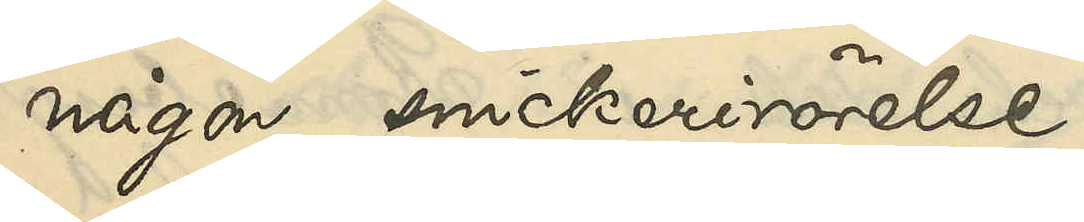någon snickerirörelse.
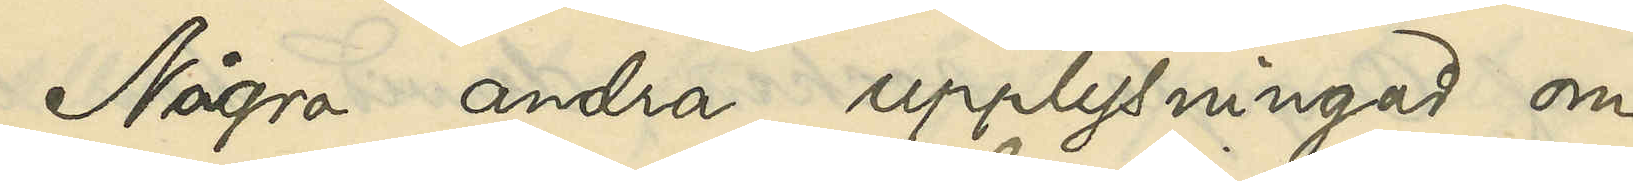Några andra upplysningar om
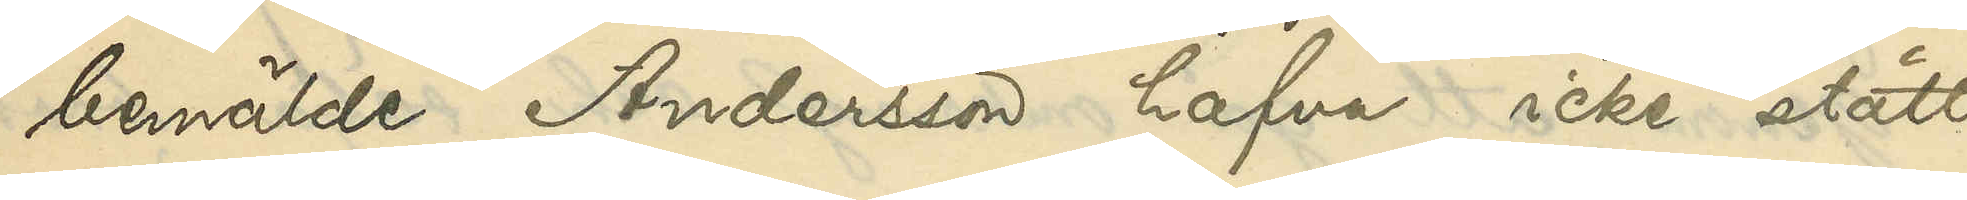bemälde Andersson hafva icke stått
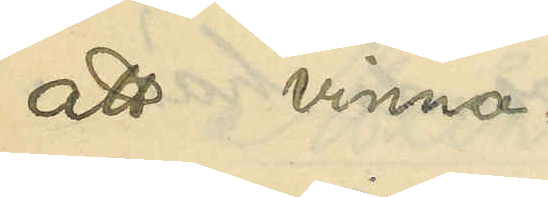att vinna.
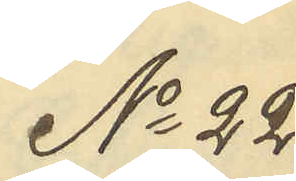No 22
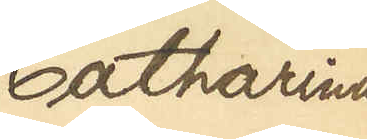Catharina
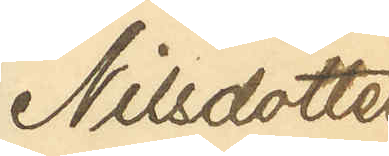Nilsdotter
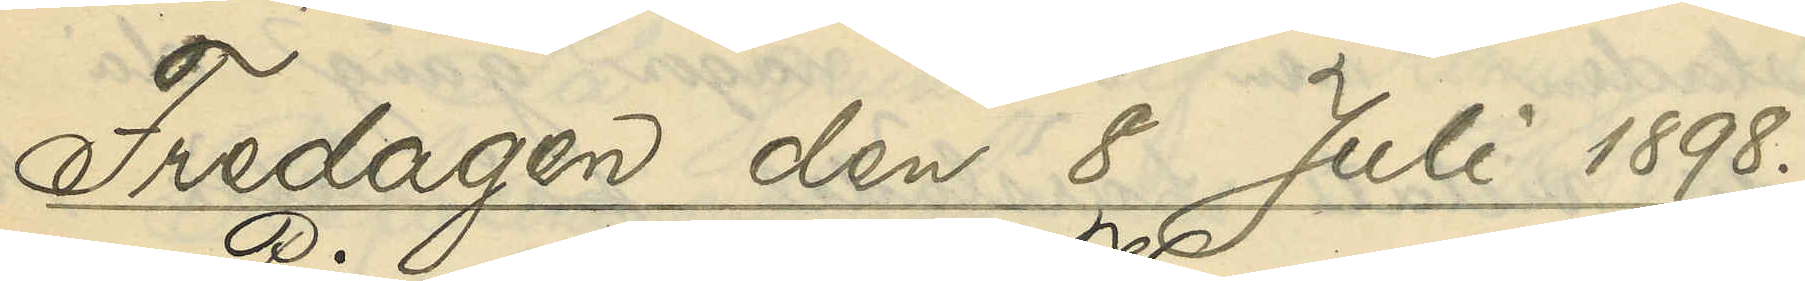Fredagen den 8 Juli 1898.
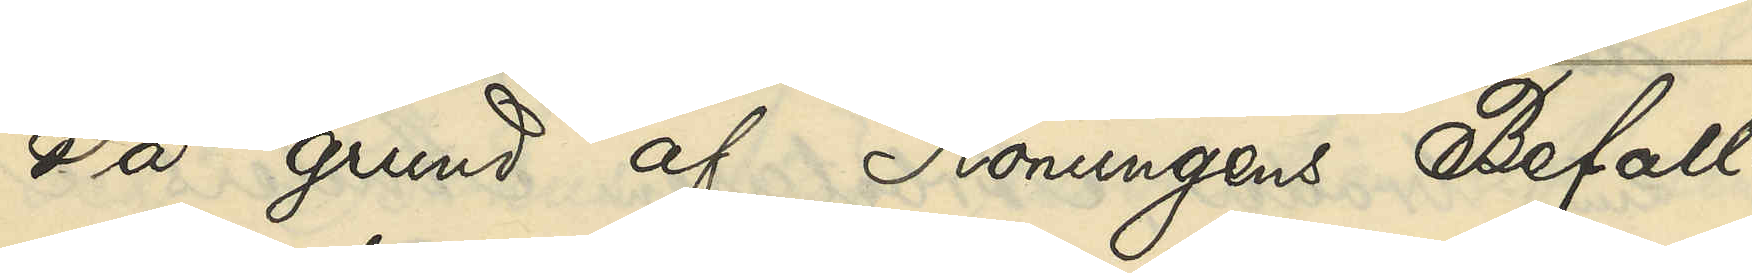På grund af Konungens Befall¬
